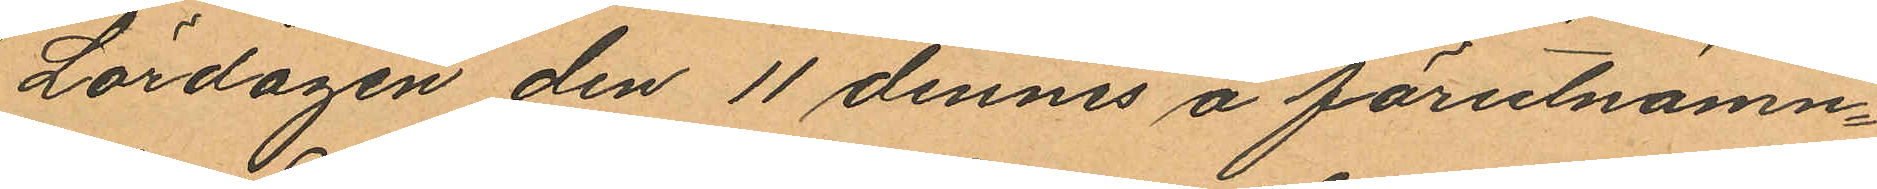Lördagen den 11 dennes å förutnämn¬
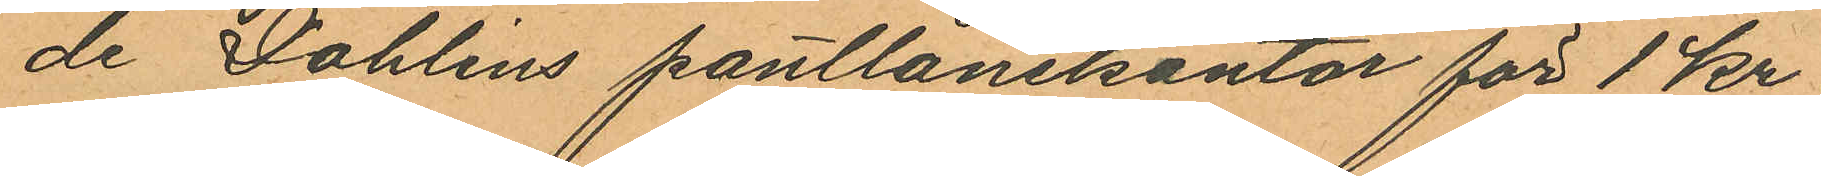de Dahlins pantlånekontor för 1 kr
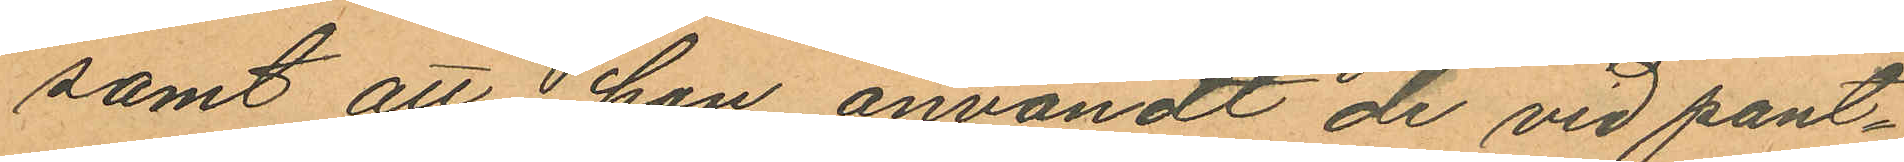samt att i hon användt de vid pant¬
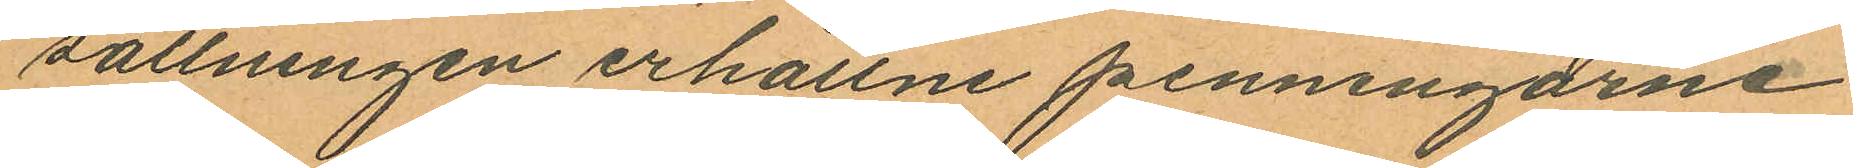sättningen erhållne penningarne
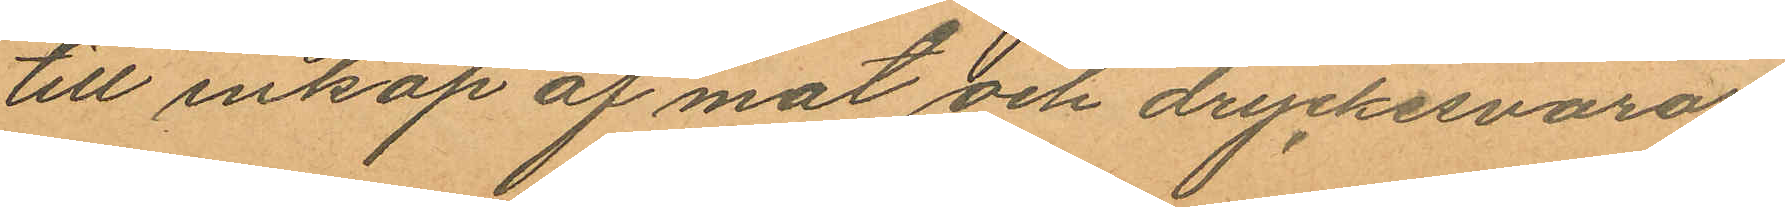till inköp af mat och dryckesvaror,
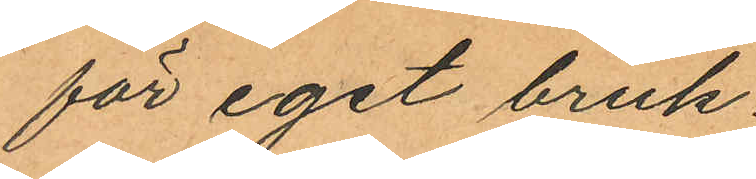för eget bruk.
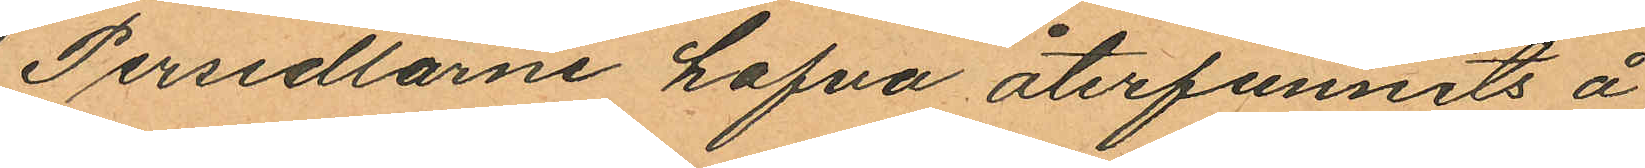Persedlarne hafva återfunnits å
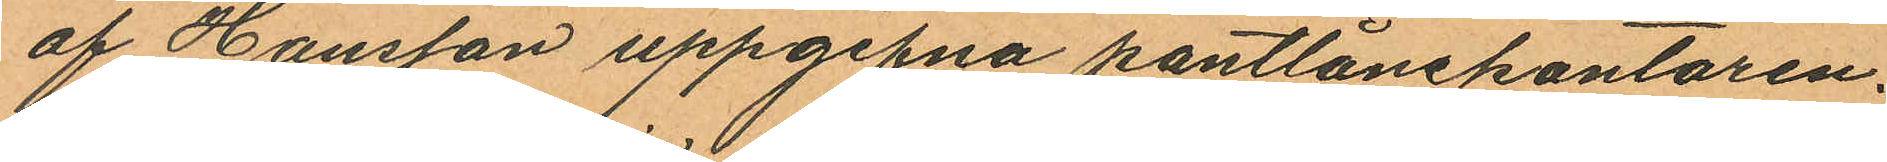af Hansson uppgifna pantlånekontoren.
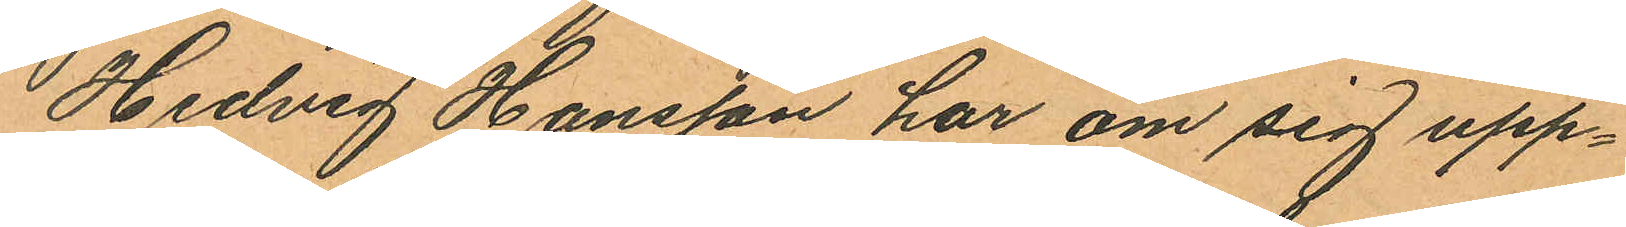Hedvig Hansson har om sig upp¬
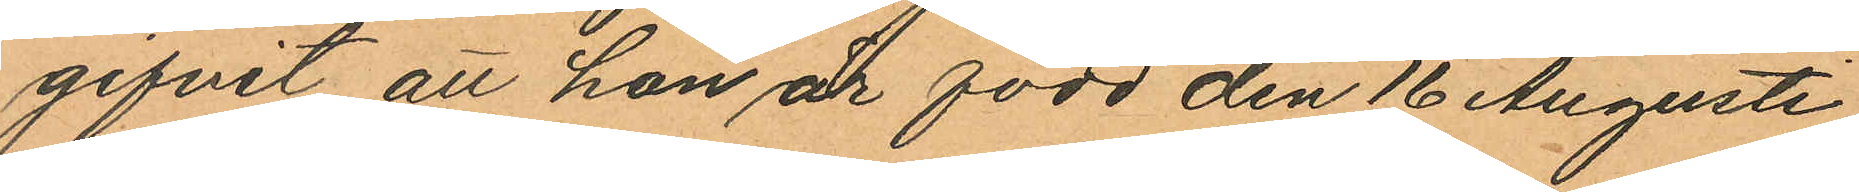gifvit att hon är född den 16 Augusti
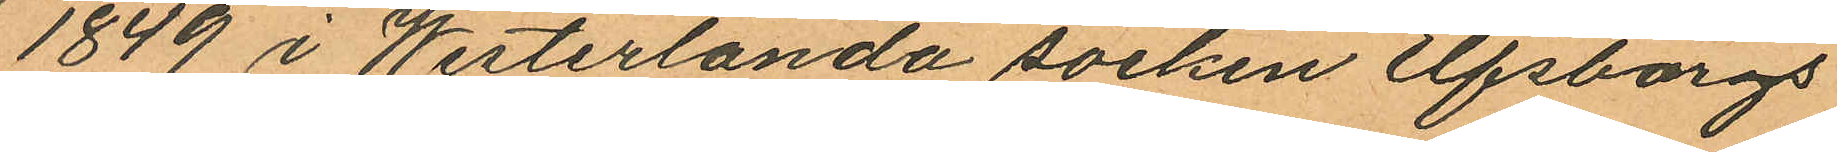1849 i Westerlanda socken Elfsborgs
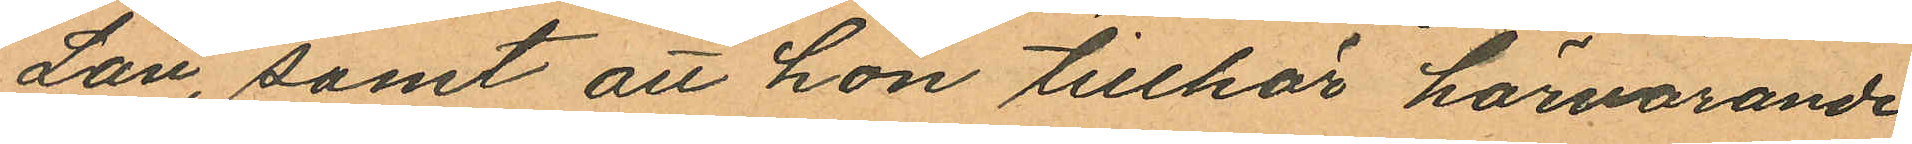Län, samt att hon tillhör härvarande
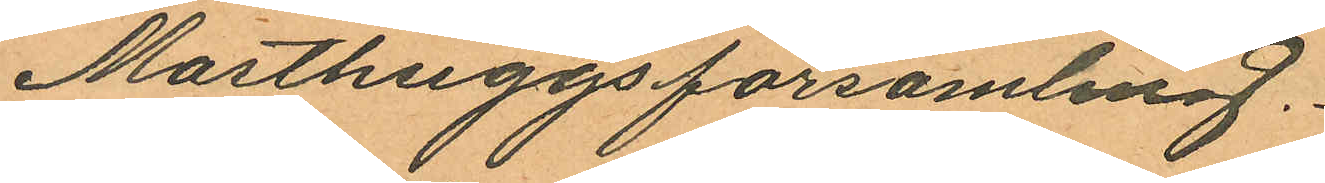Masthuggsförsamling.
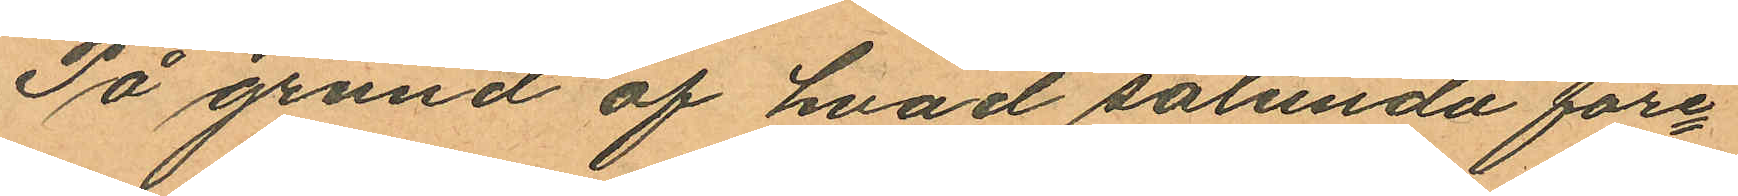På grund af hvad sålunda före¬
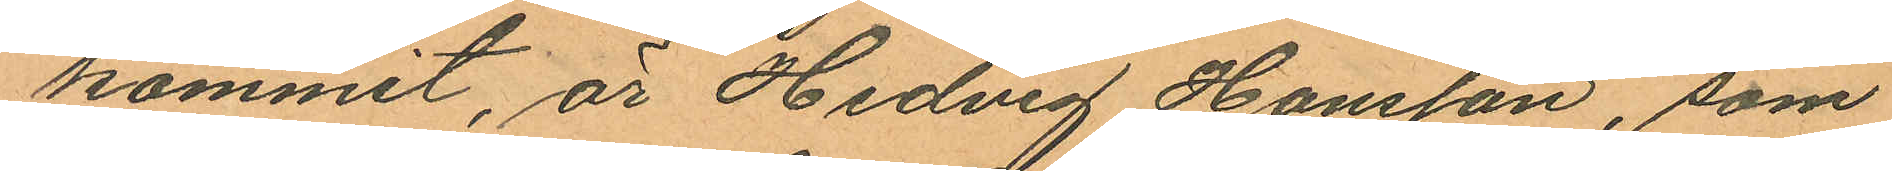kommit, är Hedvig Hansson, som
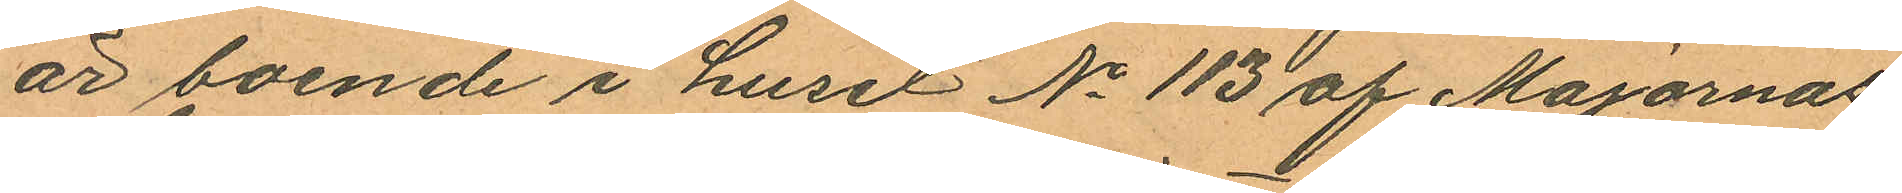är boende i huset No 113 af Majornas
